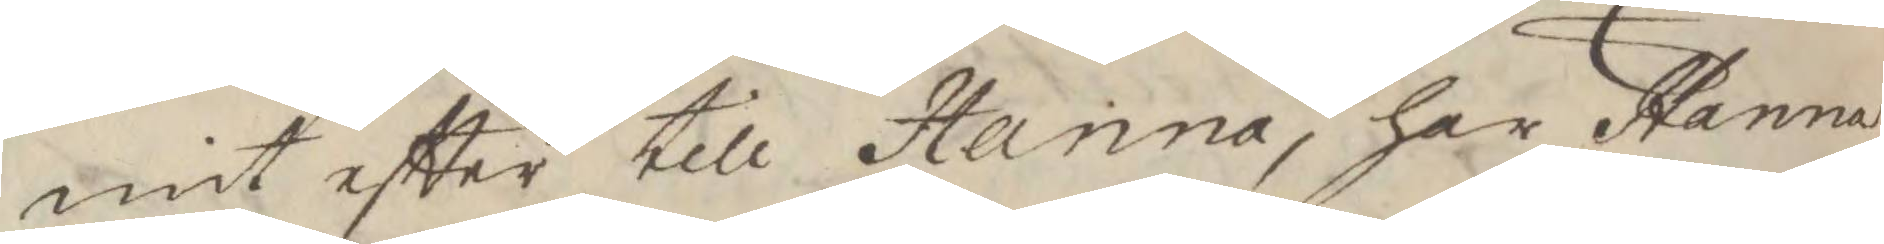mit eftter till Hanna, har Hanna
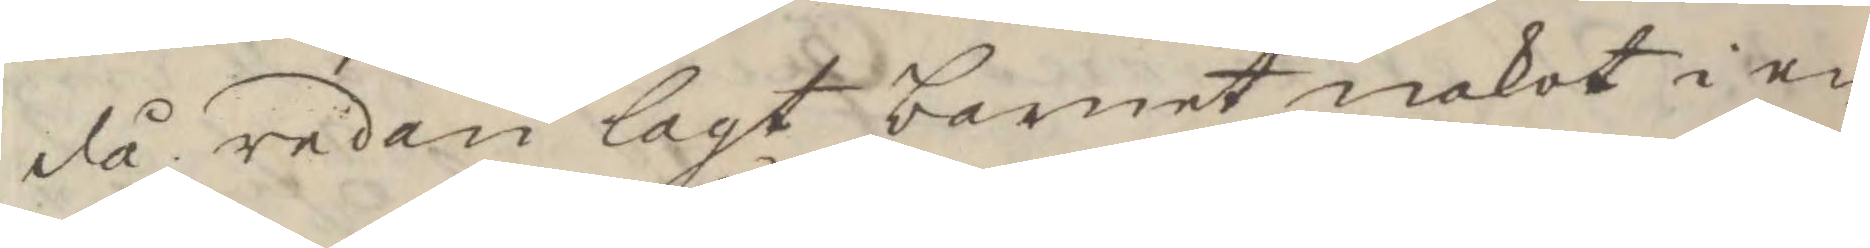då redan lagt barnet nakot i en
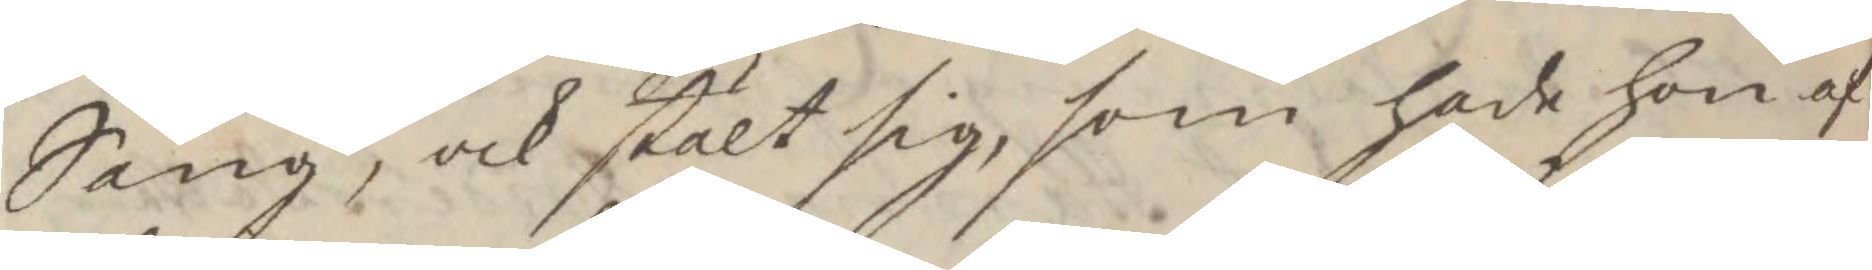Säng, och stält sig, som hade hon af
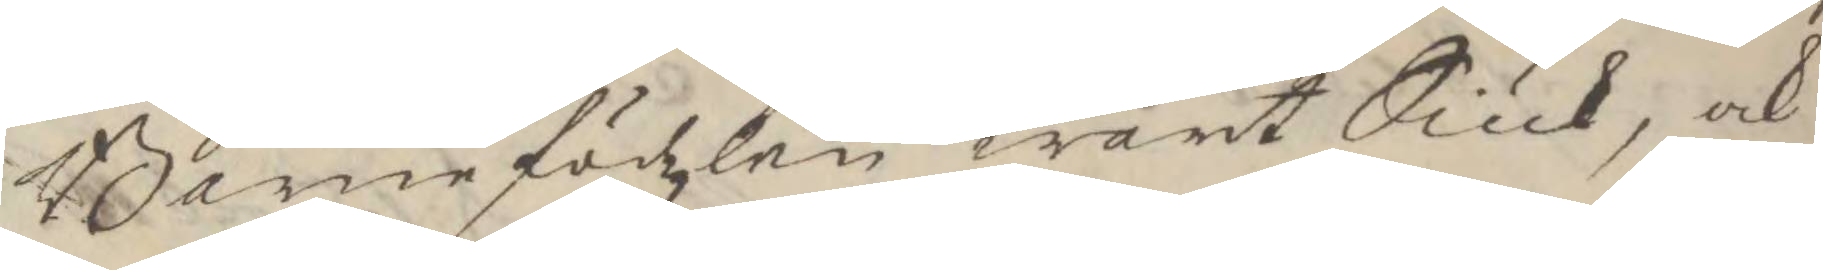Barnefödzlen warit Siuk, och
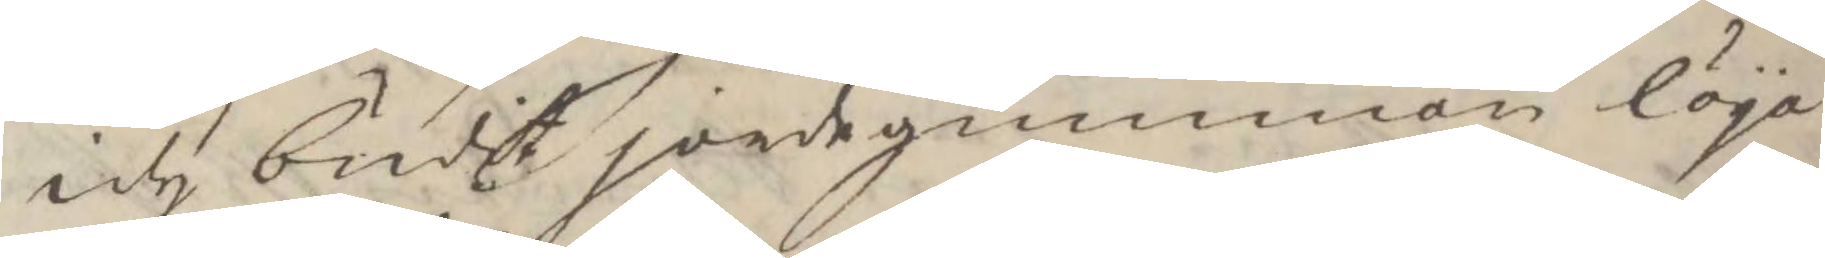ity budit jordegumman löga
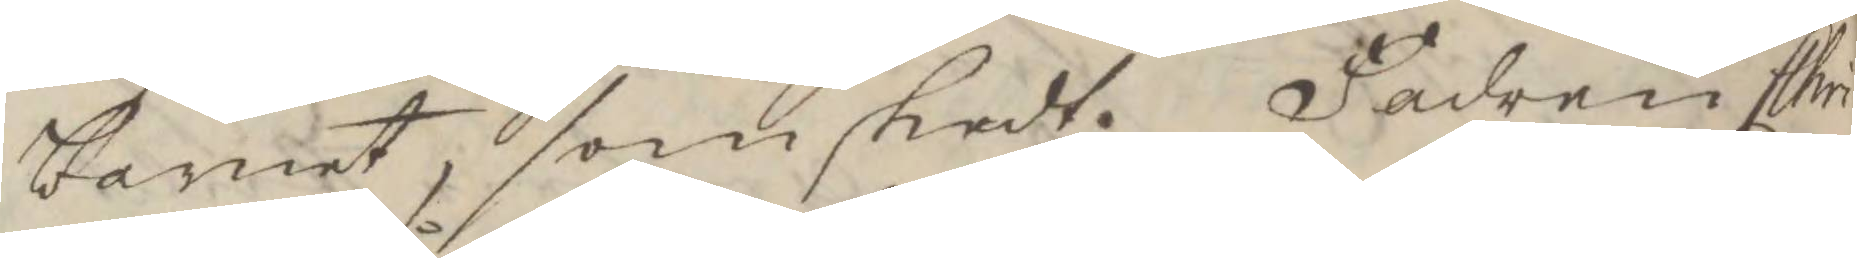barnet, som skedt. Fadern Chri¬
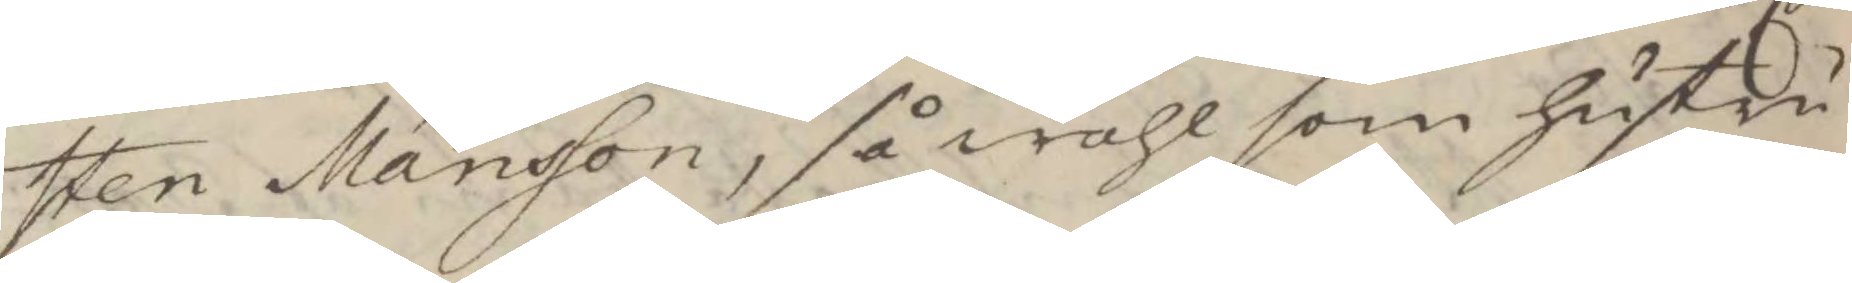sten Månsson, så wähl som hustru
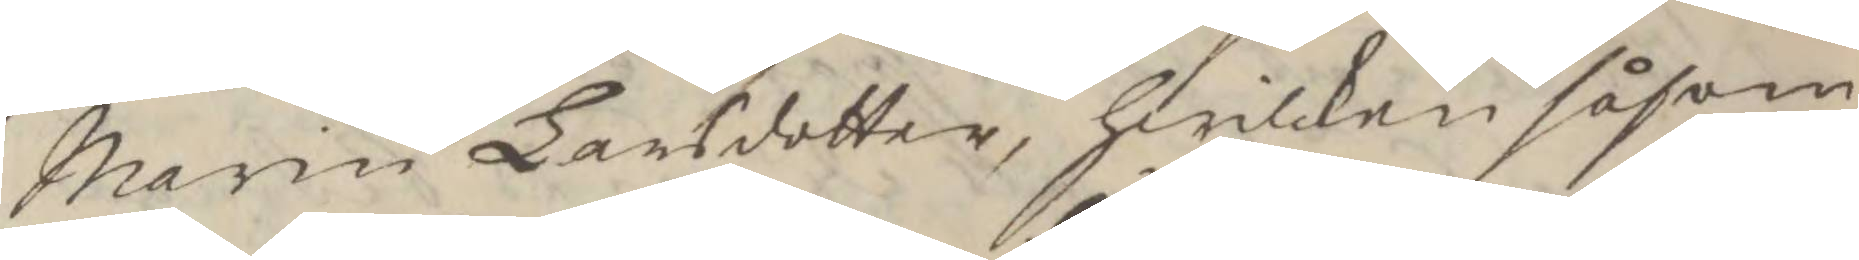Marin Larsdotter, hwilken såsom
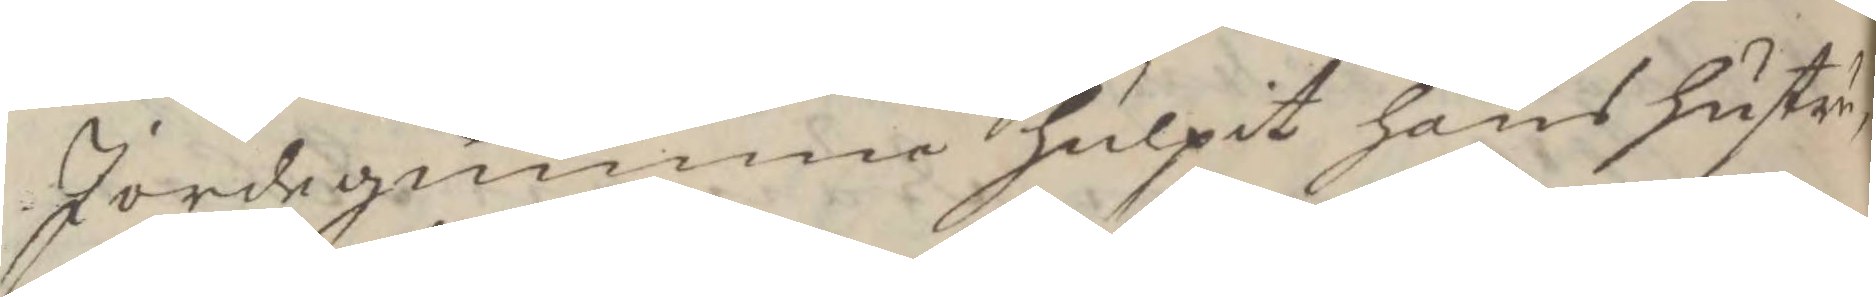Jordegumma hulpit hans hustru,
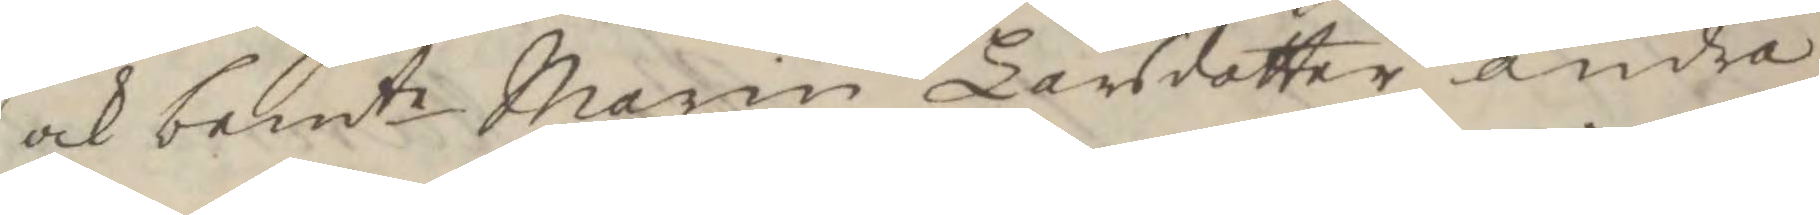och bemte Marin Larsdotter andra 
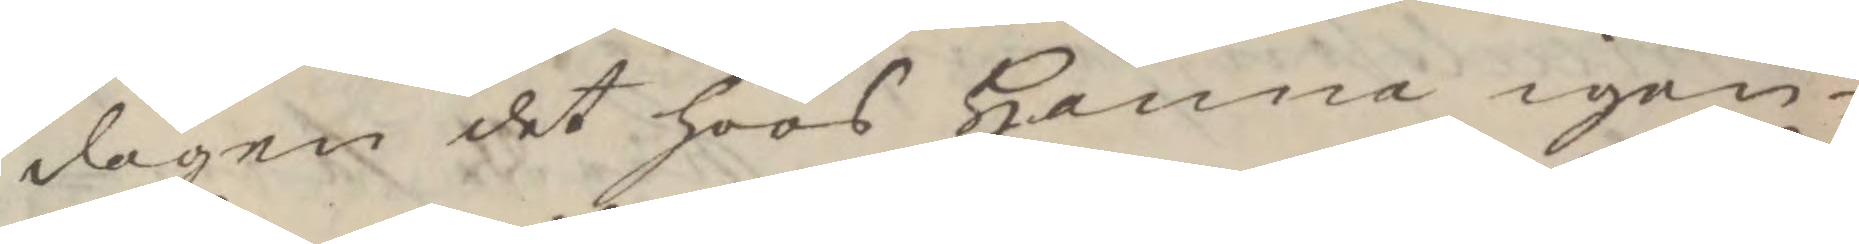dagen det hoos Henne igen¬
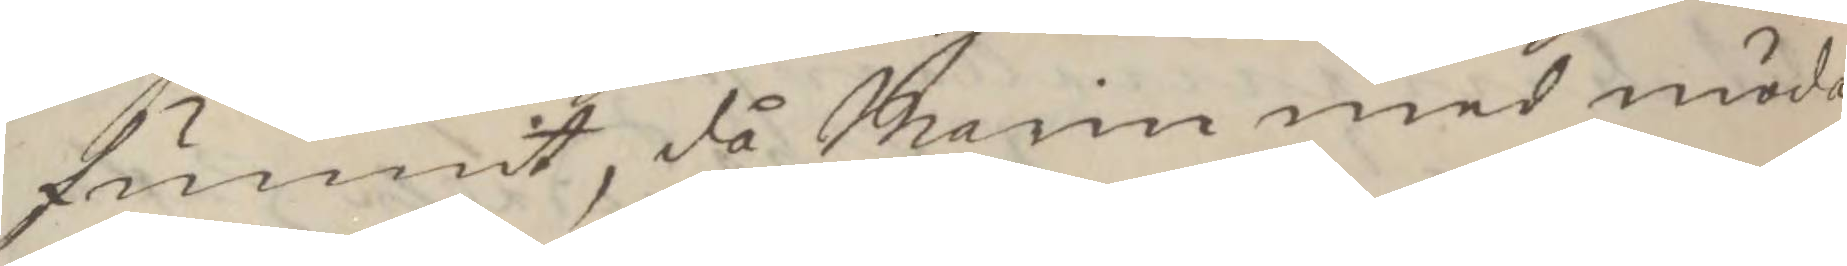funnit, då Marin med möda
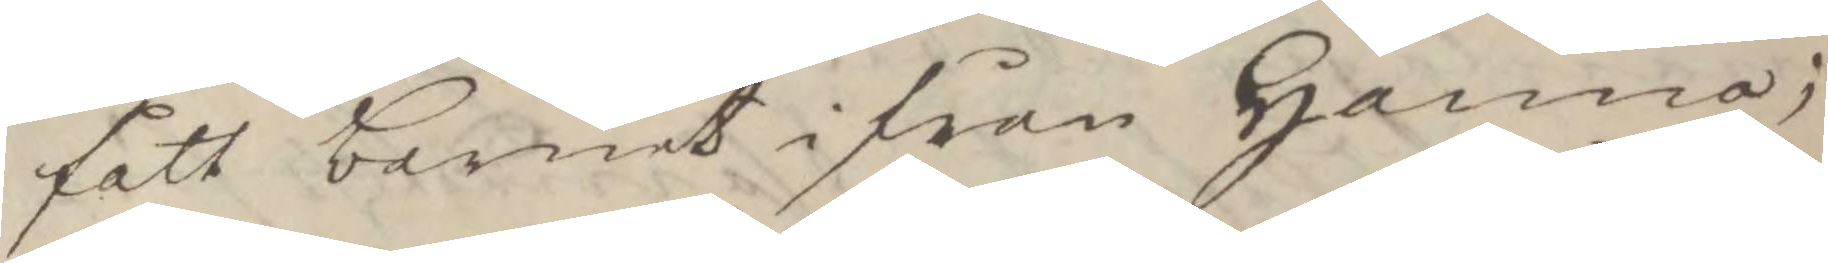fått barnet ifrån Henne;
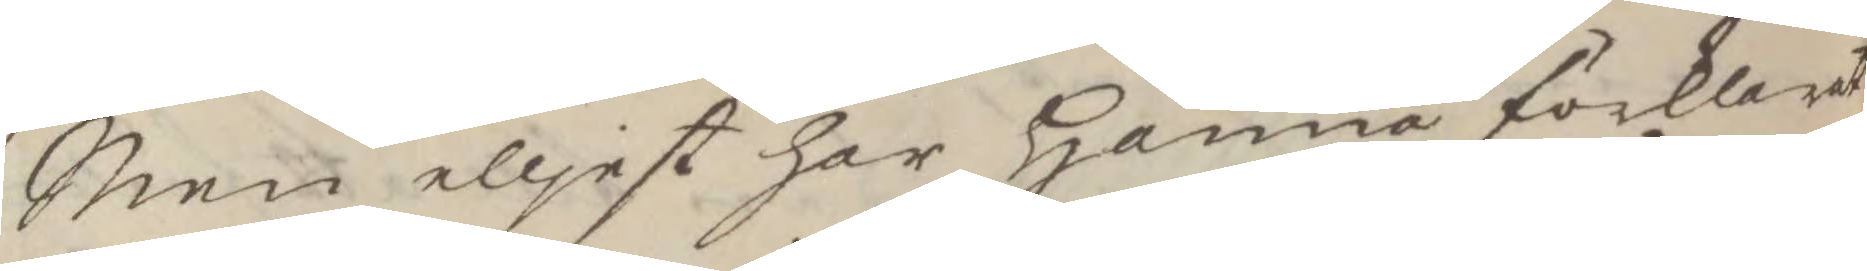Men elljest har Hanna förklarat
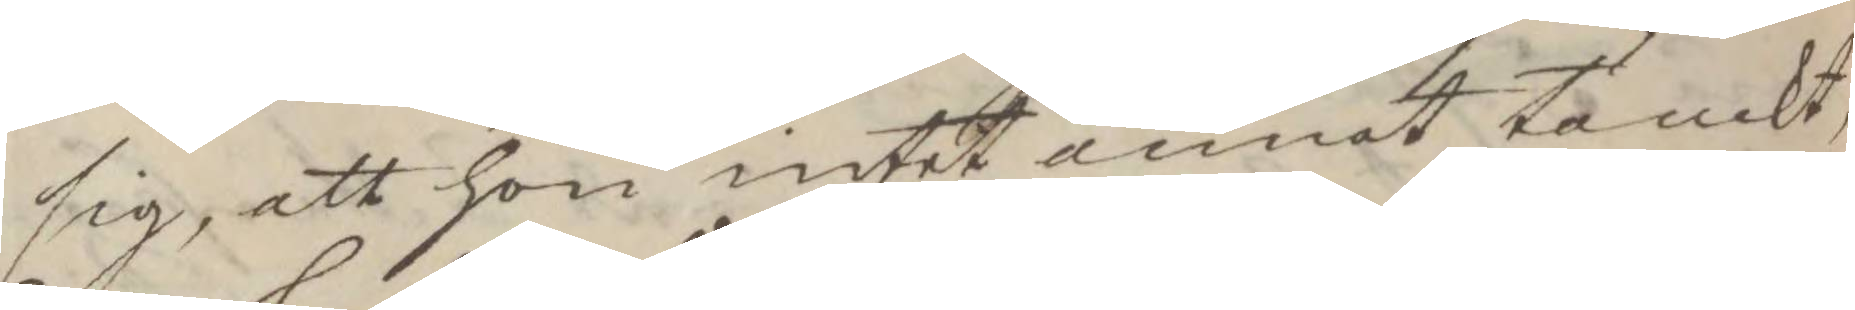sig, att hon intet annat tänkt,
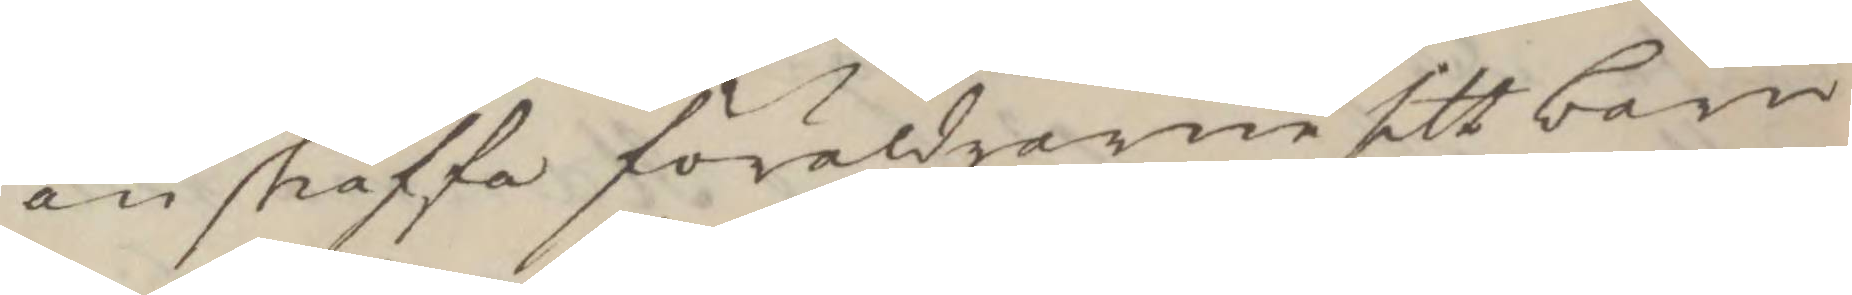än skaffa föräldrarne sitt barn
